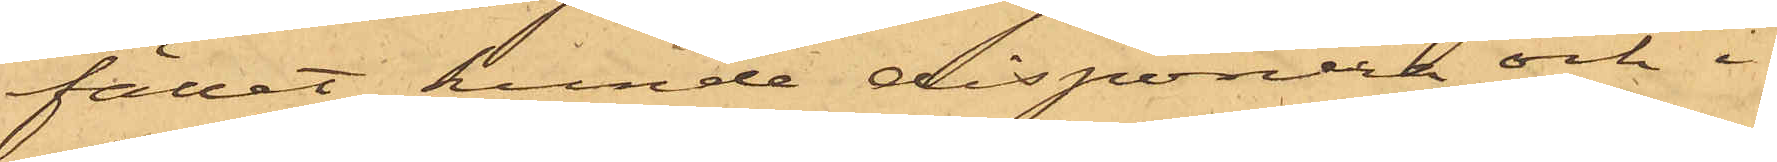fället kunde disponera och i
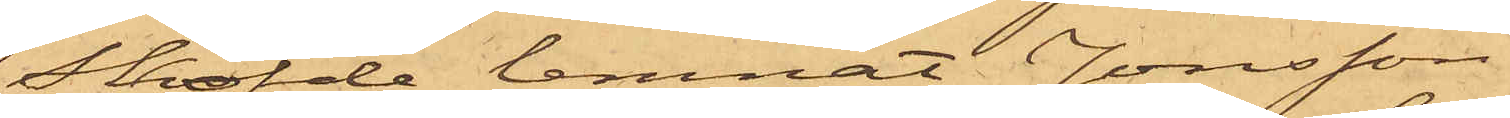Sköfde lemnat Jonsson
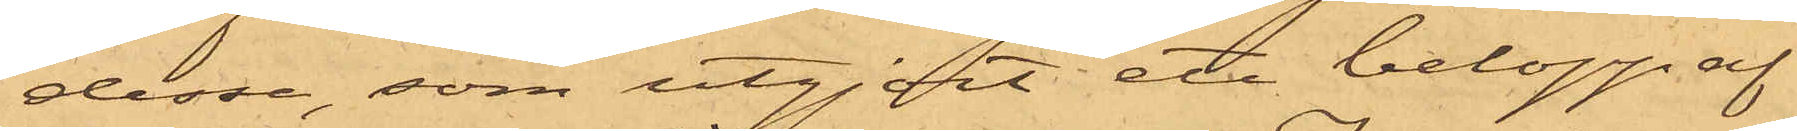desse, som utgjort ett belopp af
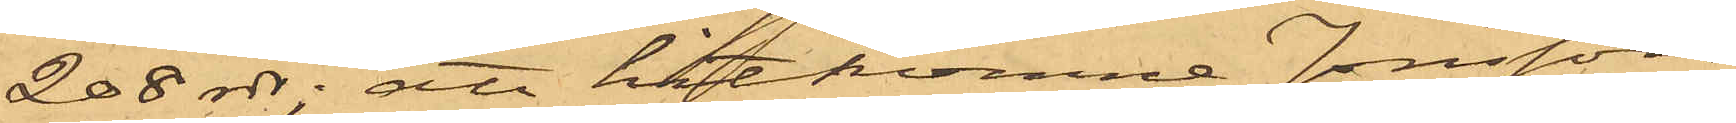208 rdr; att hitkomne Jonsson
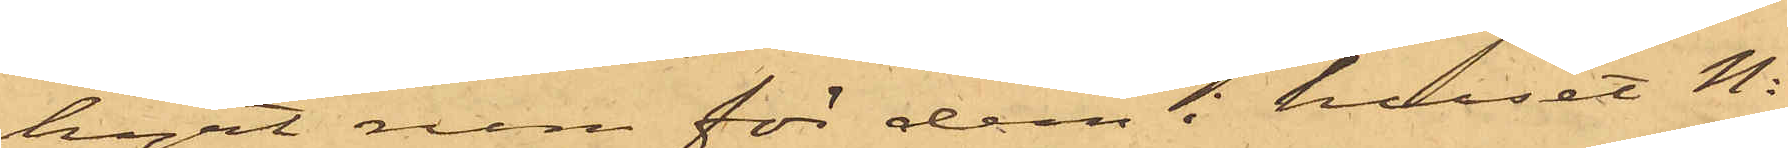hyrt rum för dem i huset No
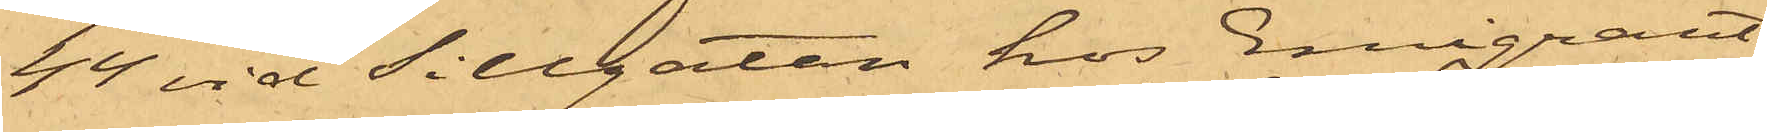44 vid Sillgatan hos Emigrant¬
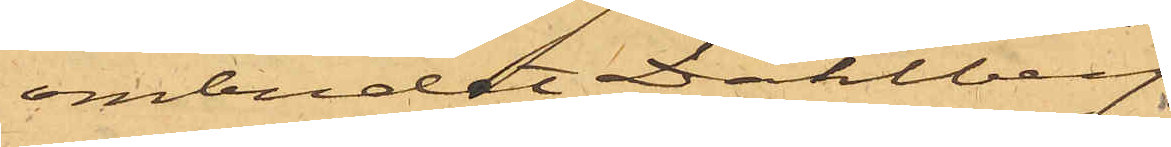ombudet Dahlberg,
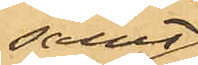samt
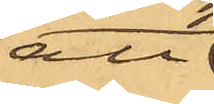att
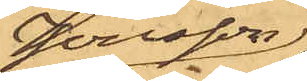Jonsson
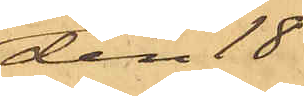den 18
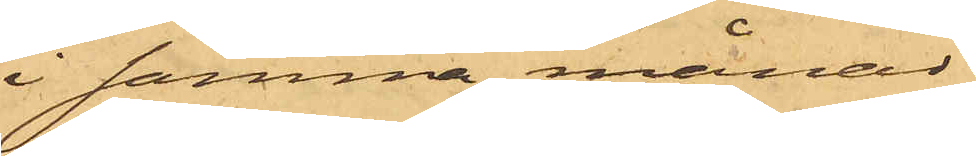i samma månad
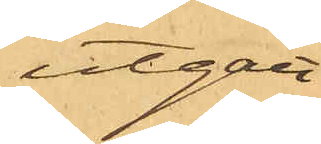utgått
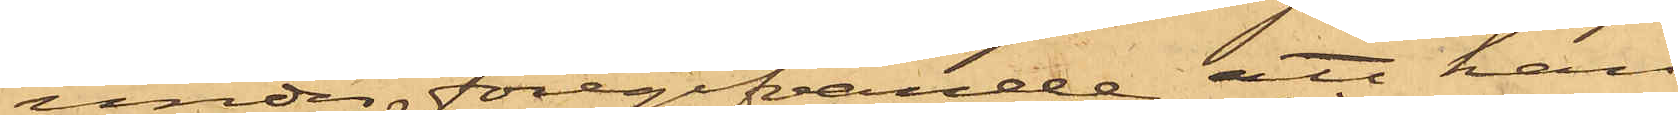under föregifvande att han
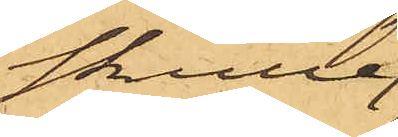skulle
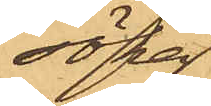söka
